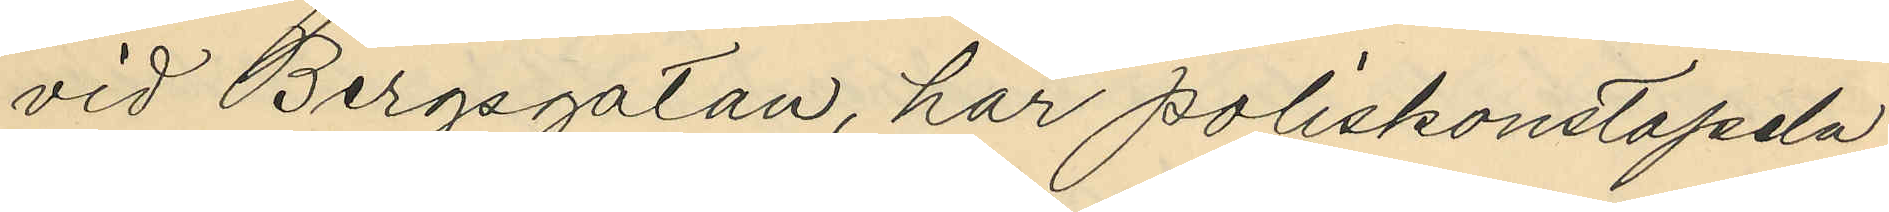vid Bergsgatan, har poliskonstapeln
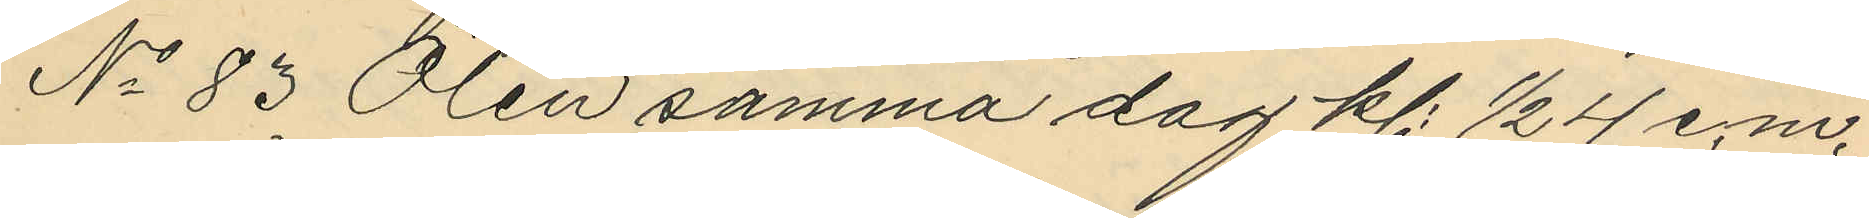No 83 Ölén samma dag kl. ½  4 e.m.
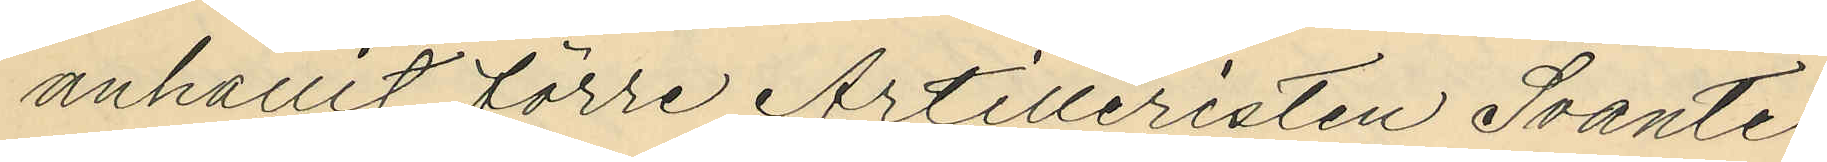anhållit förre Artilleristen Svante
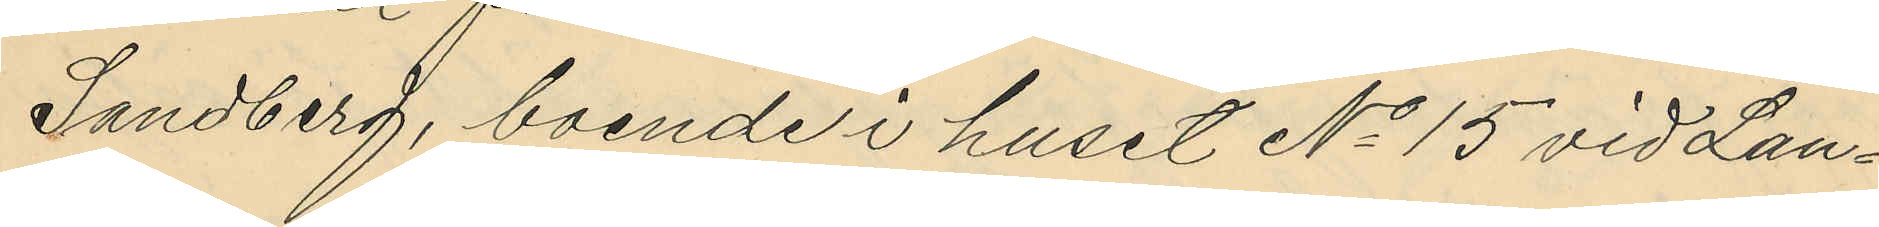Sandberg, boende i huset No 15 vid Lan¬
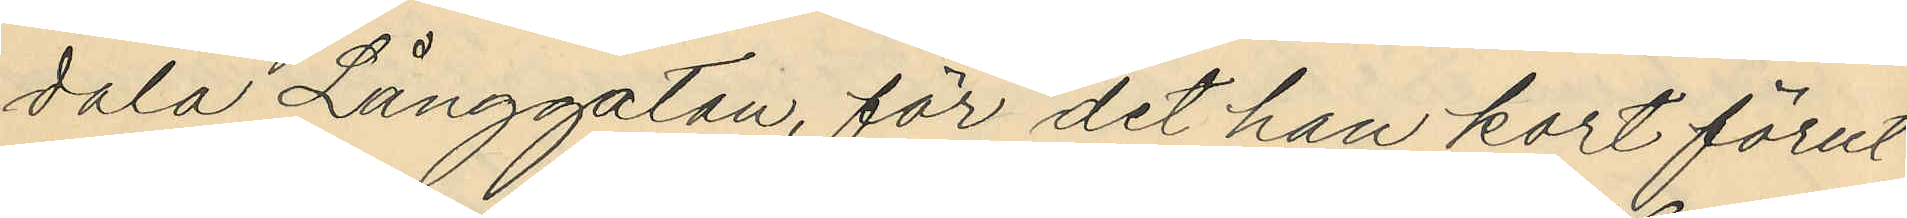dala Långgatan, får det han kort förut
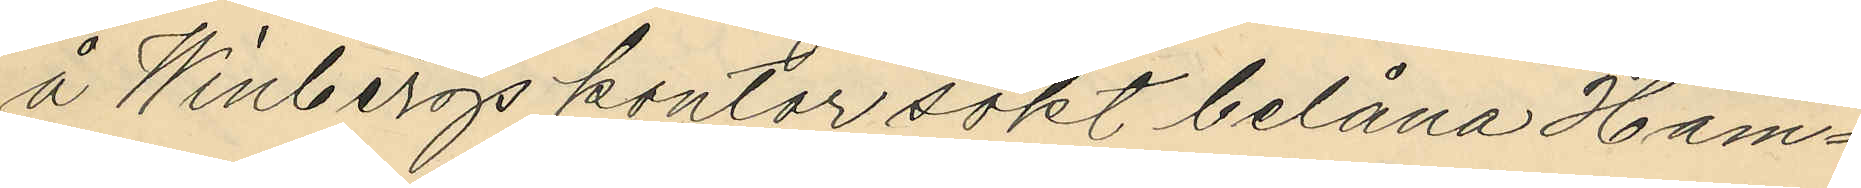å Winbergs kontor sökt belåna Ham¬
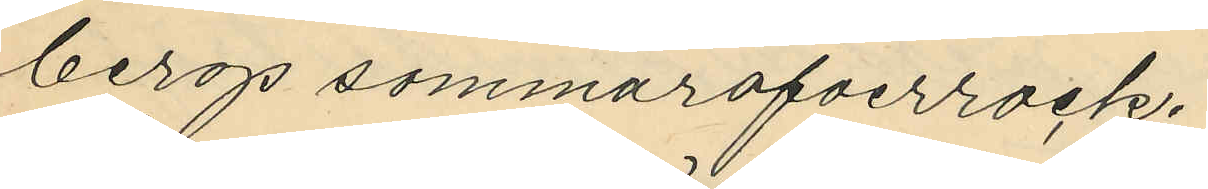bergs sommaröfverrock.
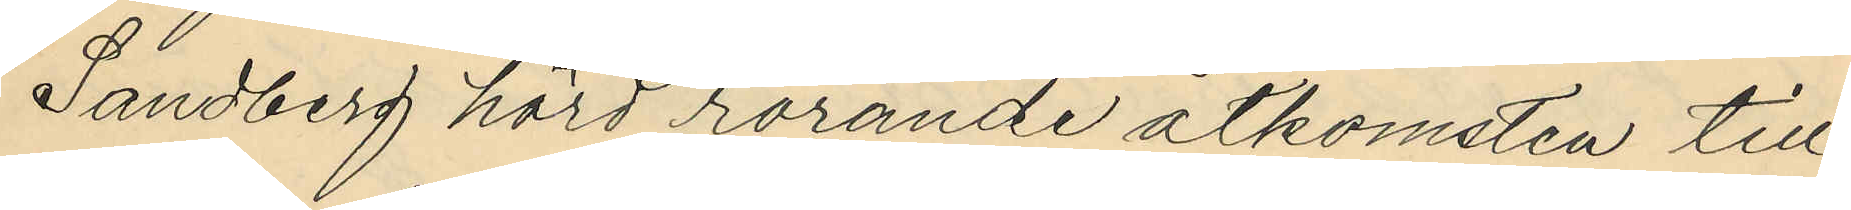Sandberg hörd rörande åtkomsten till
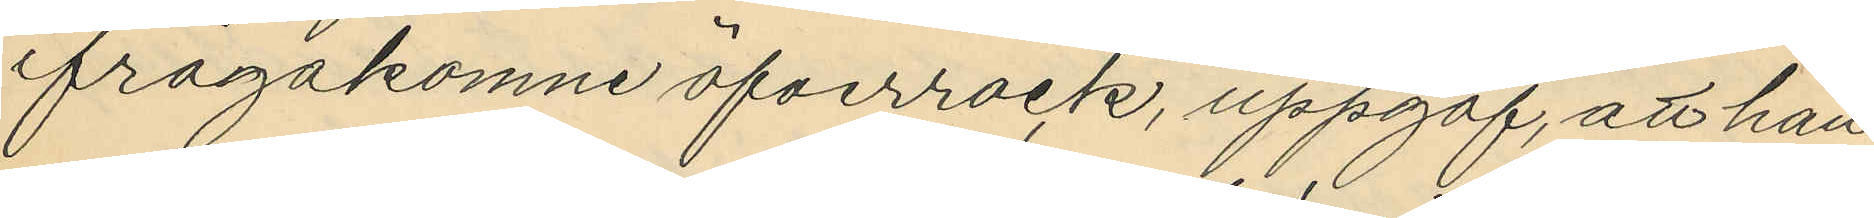ifrågakomne öfverrock, uppgaf, att han
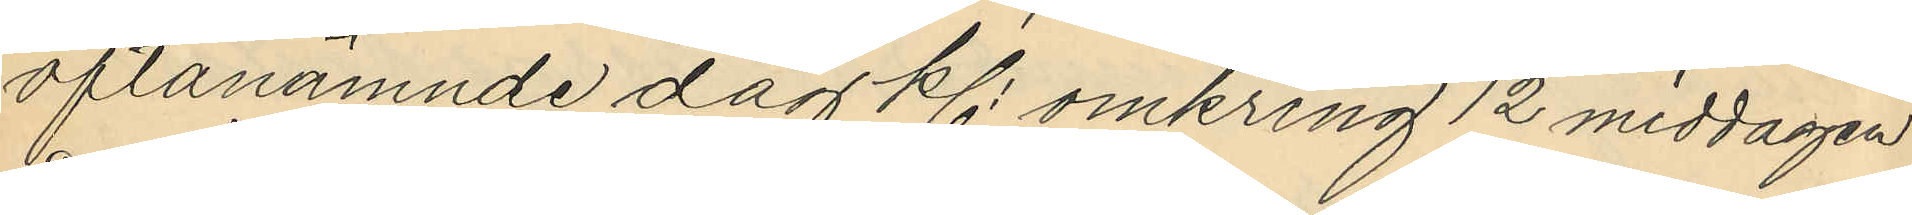oftanämnde dag kl. omkring 12 middagen
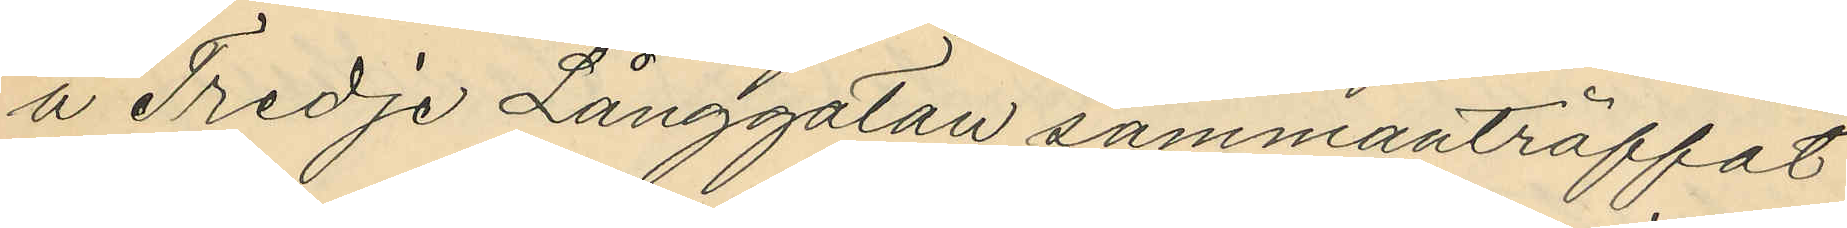å Tredje Långgatan sammanträffat
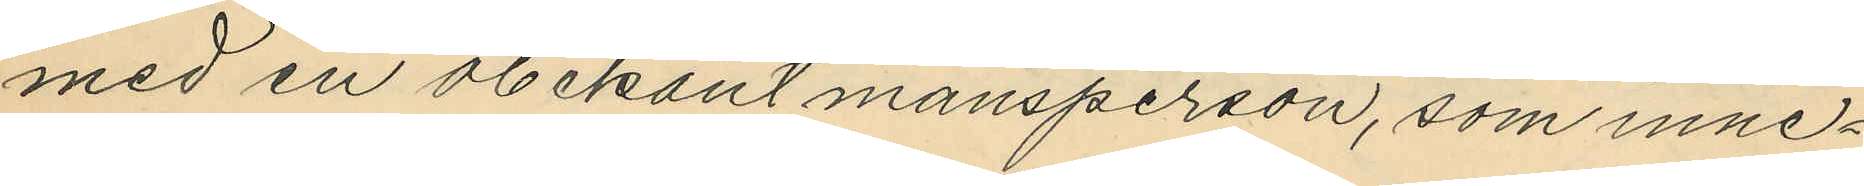med en obekant mansperson, som inne¬
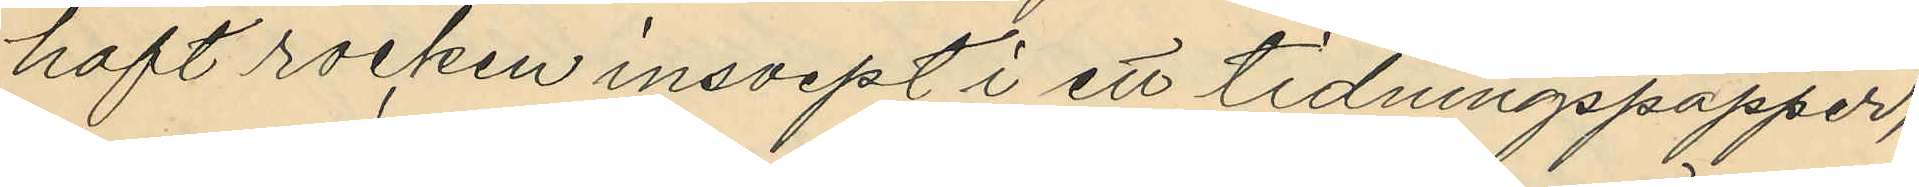haft rocken insvept i ett tidningspapper,
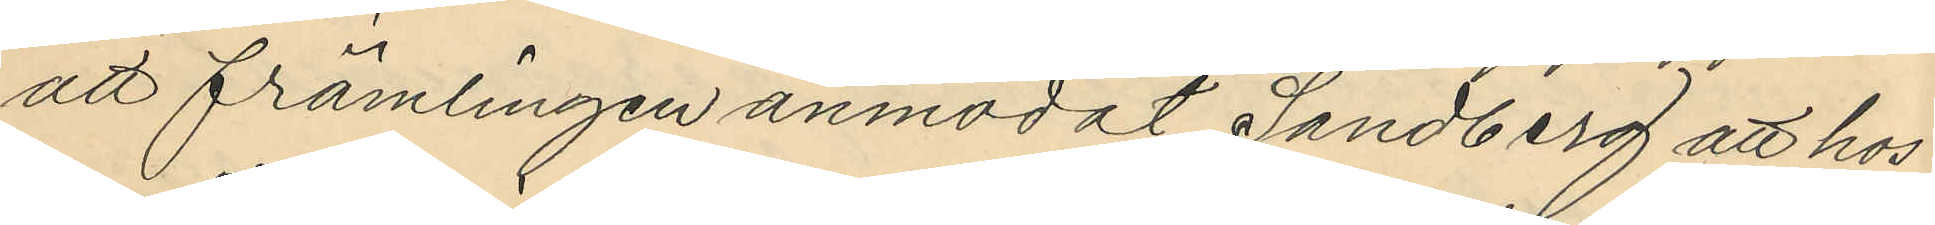att främlingen anmodat Sandberg att hos
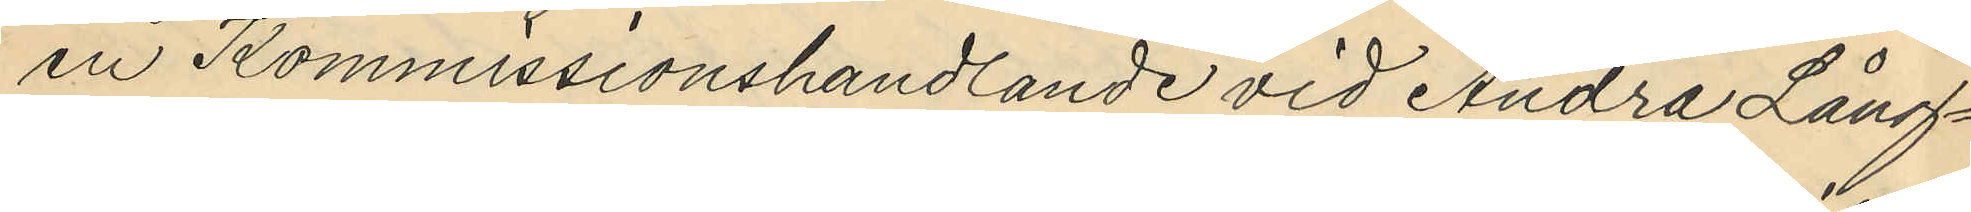en Kommissionshandlande vid Andra Lång¬
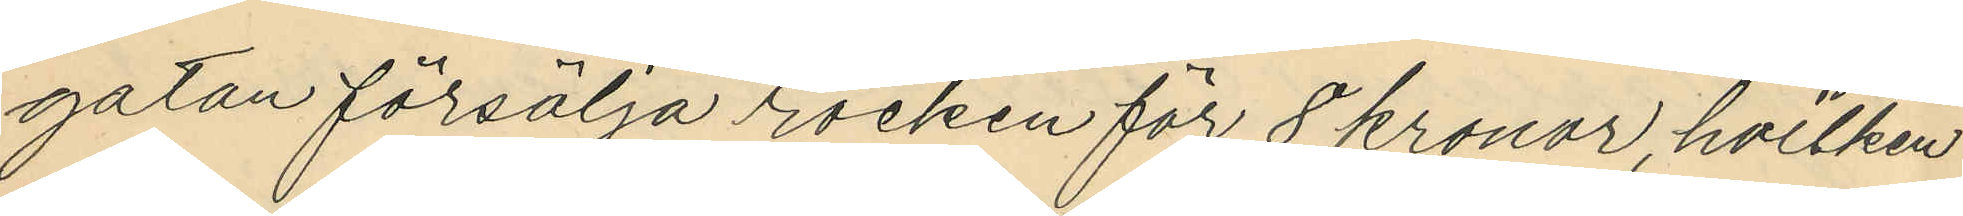gatan försälja rocken för 8 kronor, hvilken
